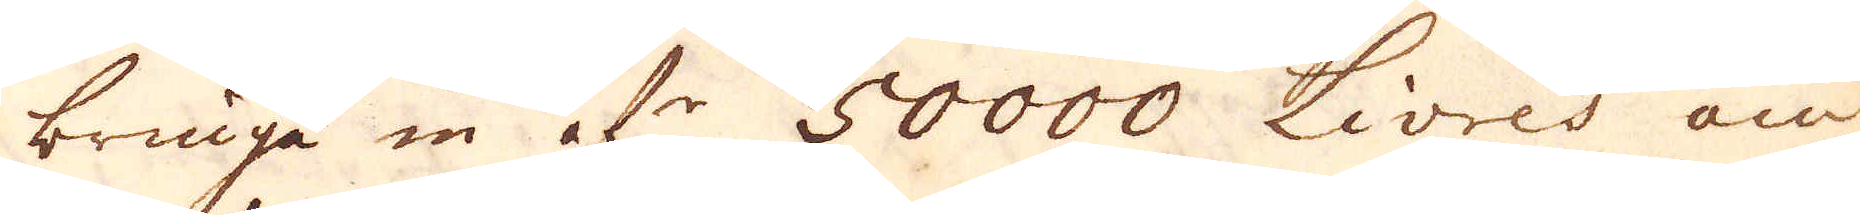bringa in åfr 50000 Livres om
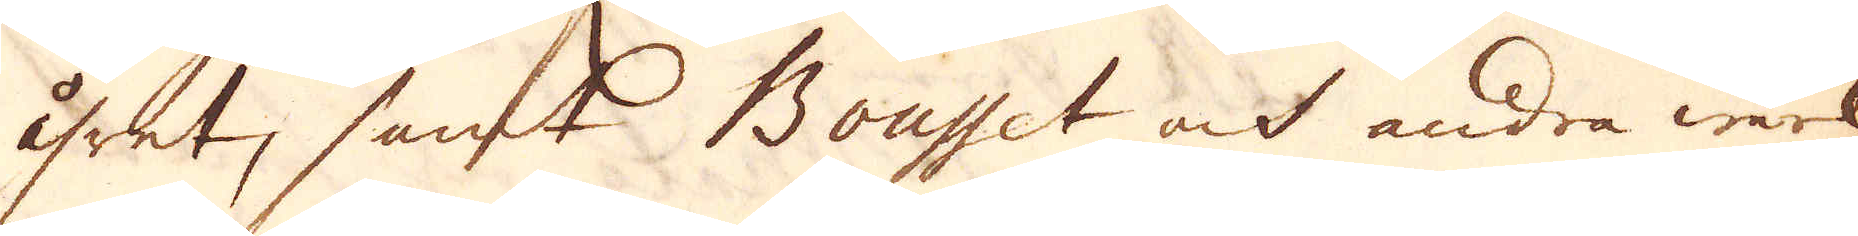året, samt Bouset och andra wärk
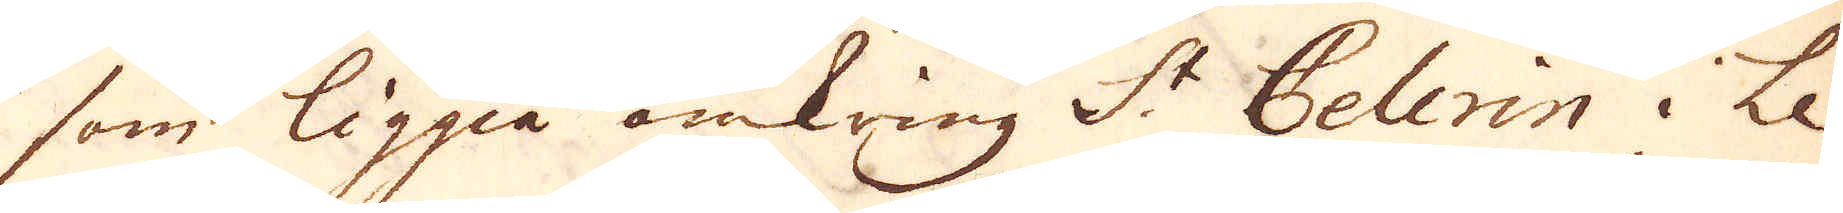som liggia omkring S:t Pelerin i Le
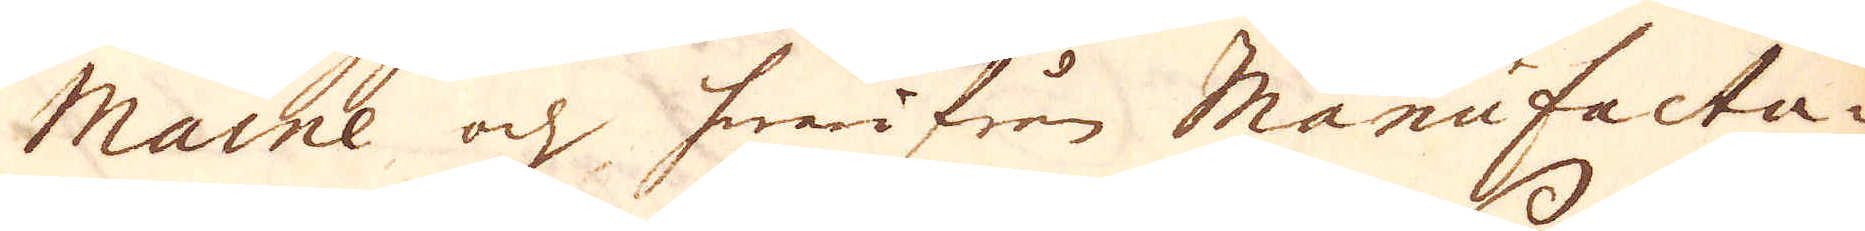Maine och hwarifrån Manufactu-
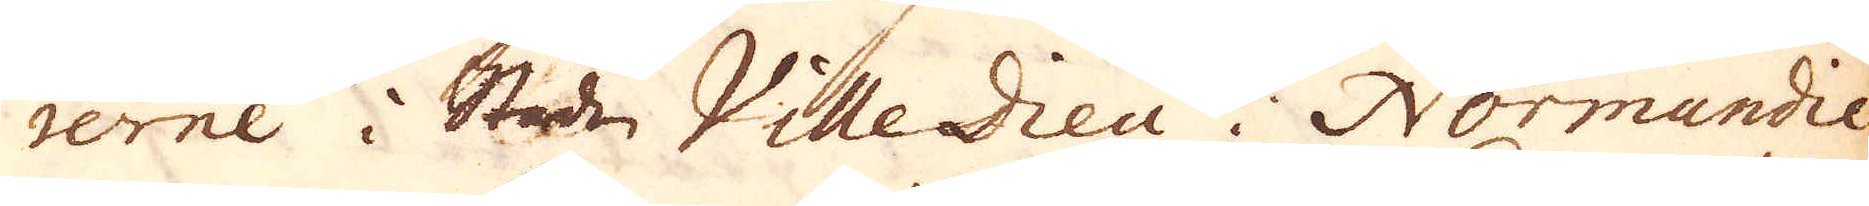rerne i Staden Ville Dieu i Normandie
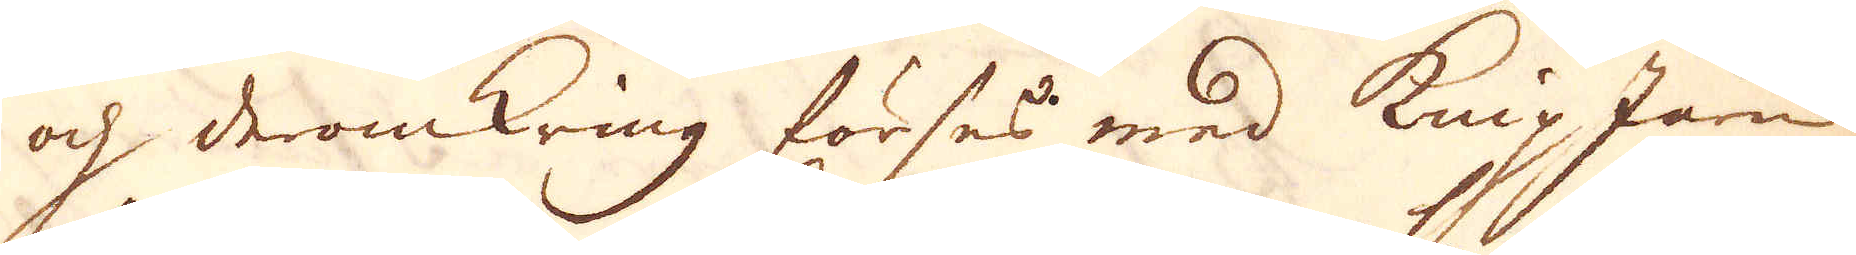och deromkring förses med knip Järn,
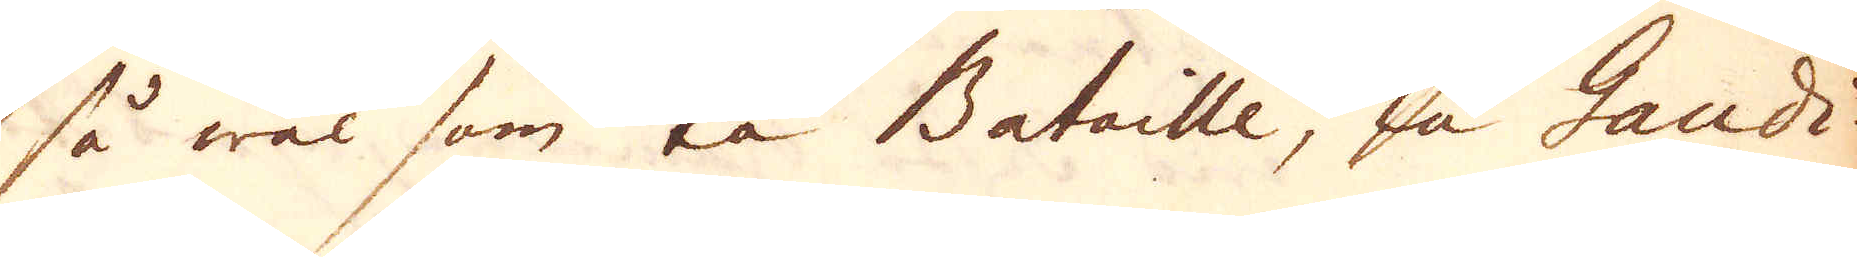så wäl som la Bataille, la Gaudi-
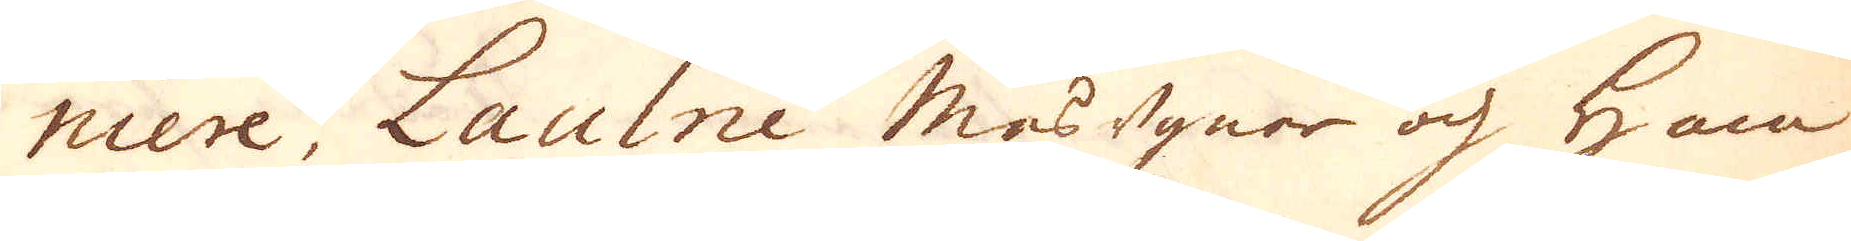niere, Laulne masugnar och ham-
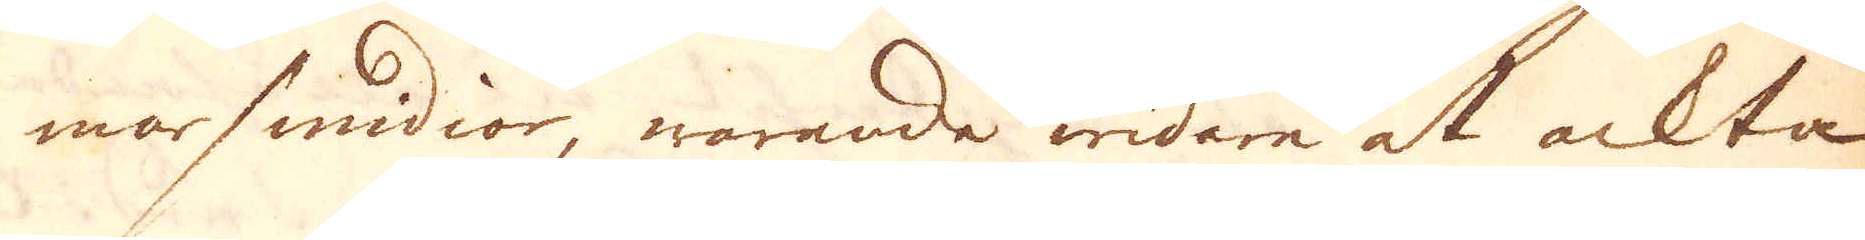marsmidior, warande widare at ackta
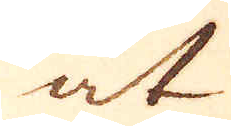at
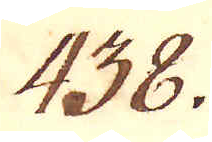438.
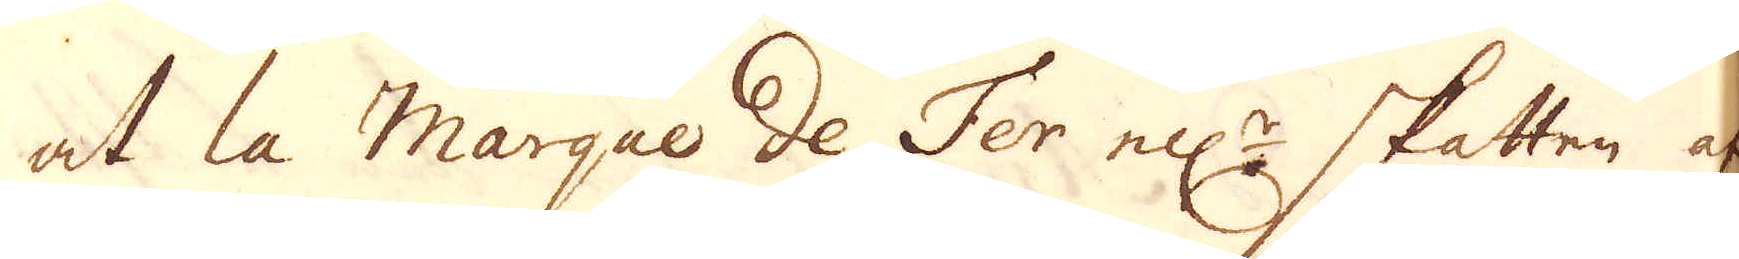at la Marque de Fer ell:r skatten af
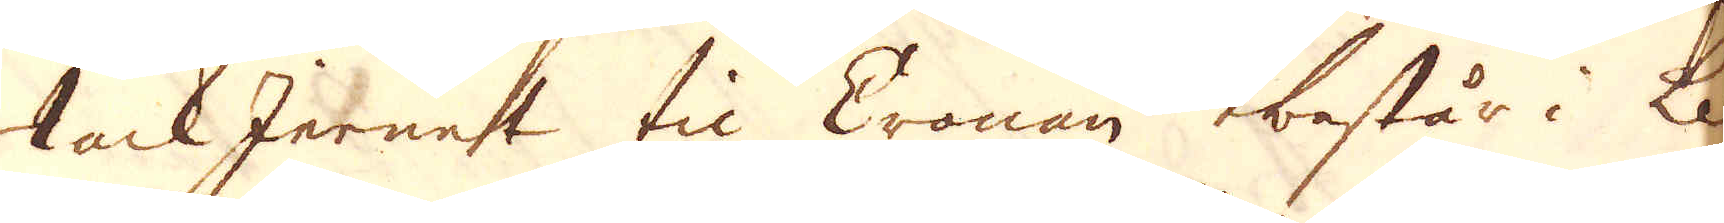tackJernet til Cronan består i Le
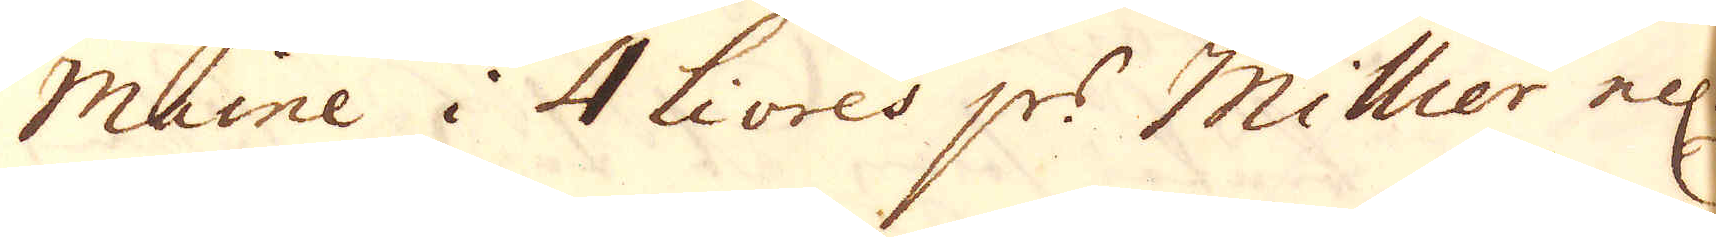Maine i 4 Livres p:r Millier ell:r
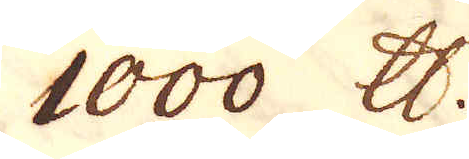1000 skålpund.
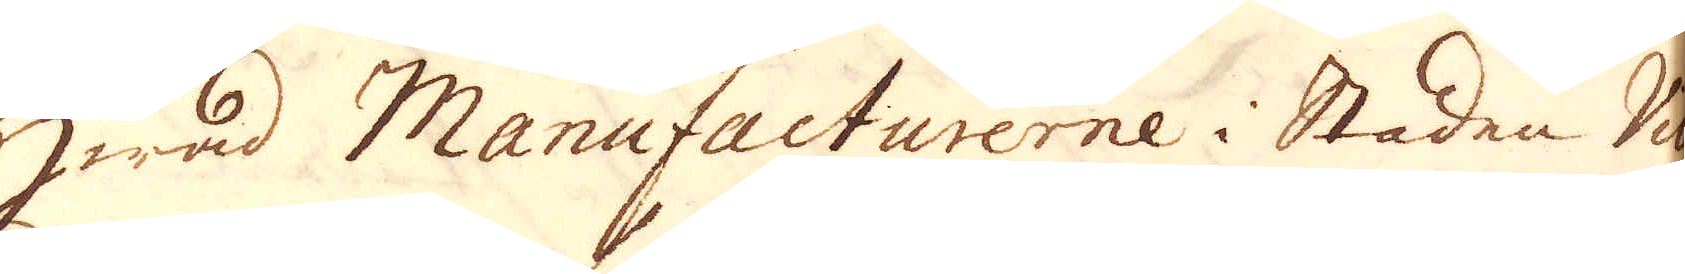Hwåd Manufacturerne i Staden Ville
